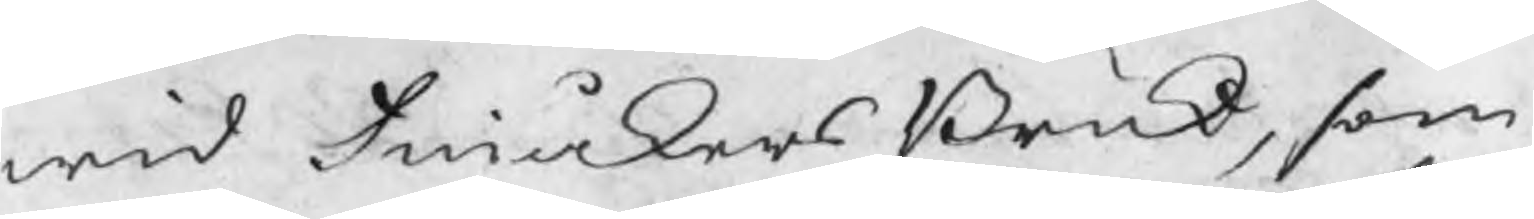wid Finåkers Bruk, som
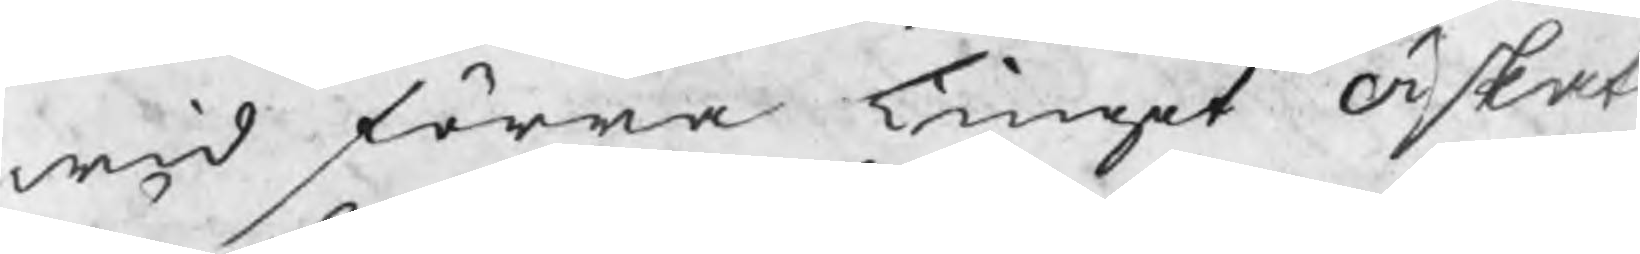wid förra tinget äskat
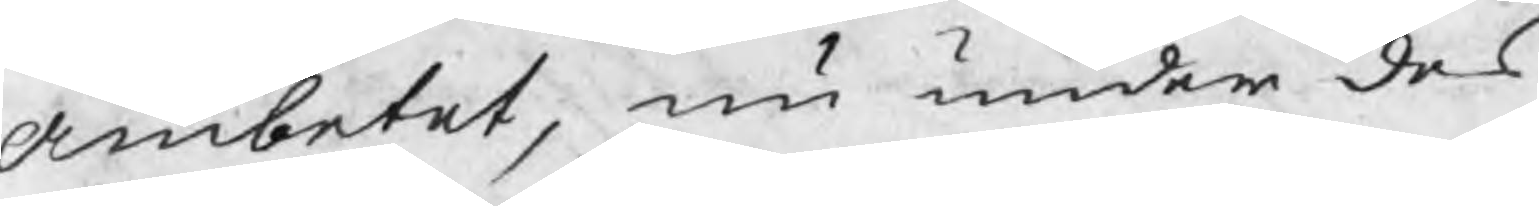ämbetet, nu under des
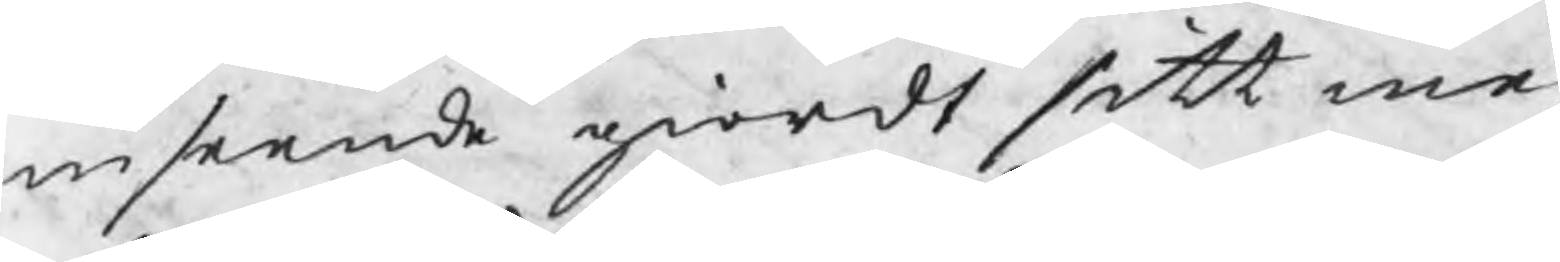inseende giordt sitt me¬
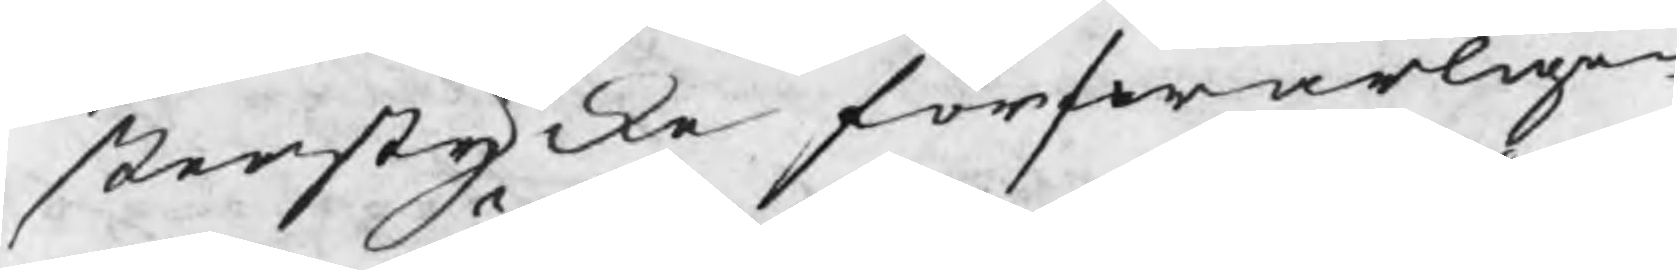sterstycke förswarligen
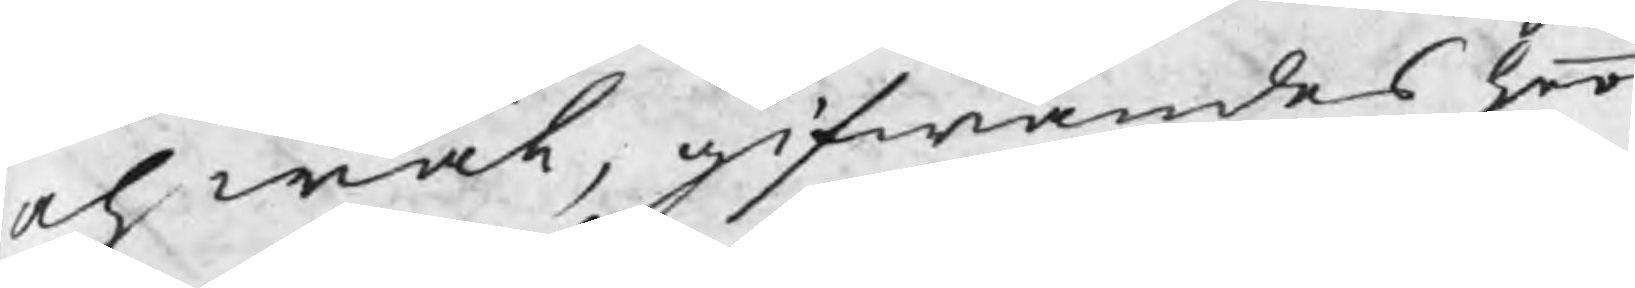och wäl, gifwandes hoo
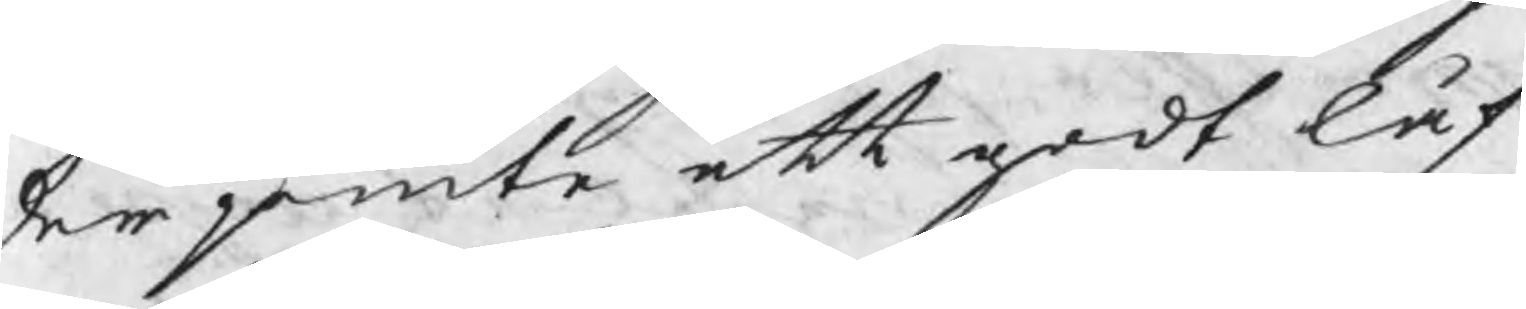der jemte ett godt låf¬
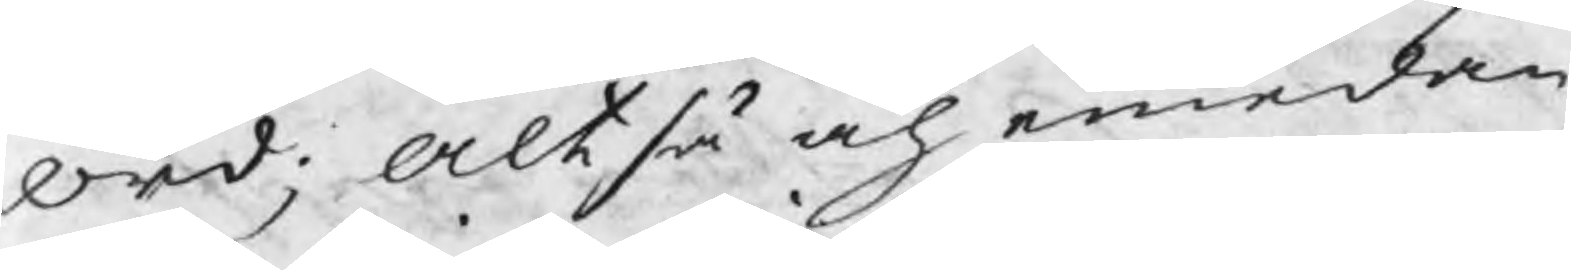ord; altså och emedan
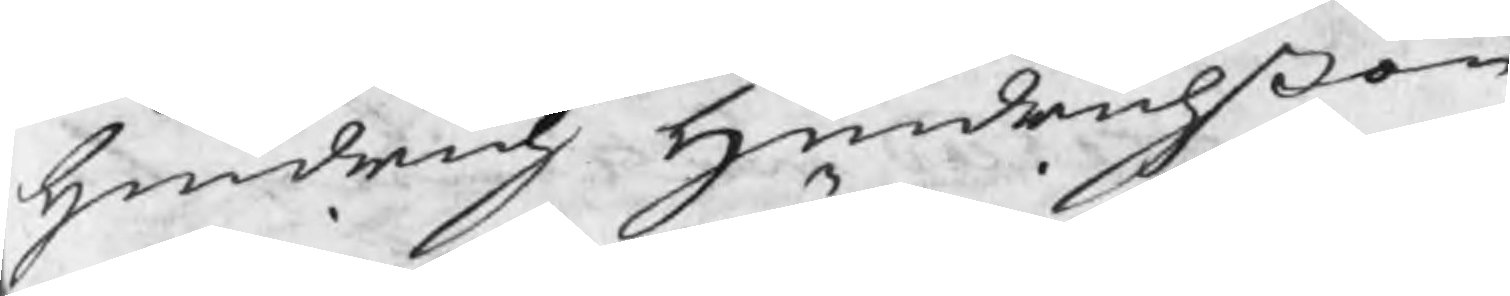Hindrich Hindrichßon
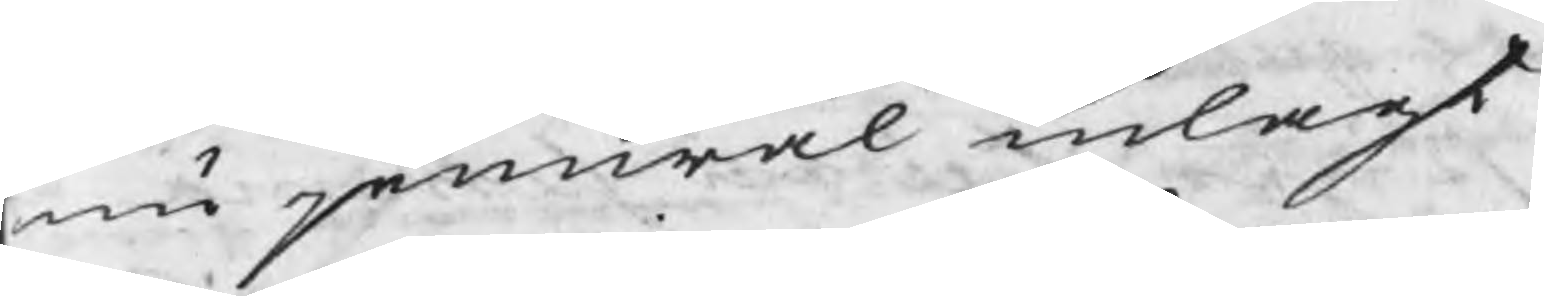nu jemwäl inlagt
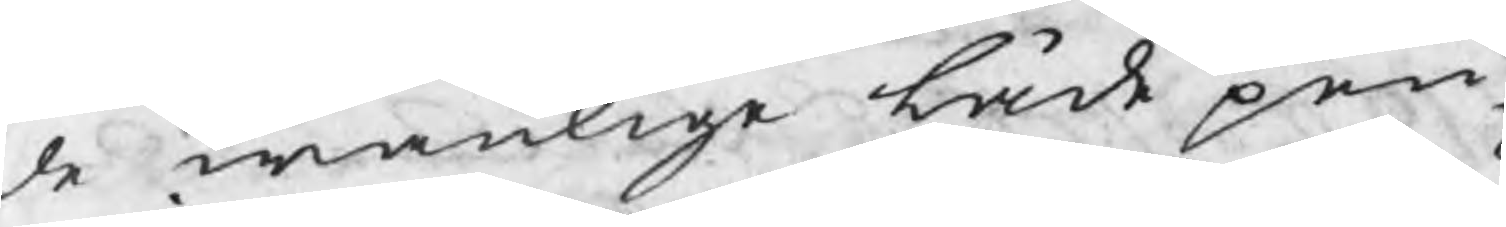de wanlige låde pen¬
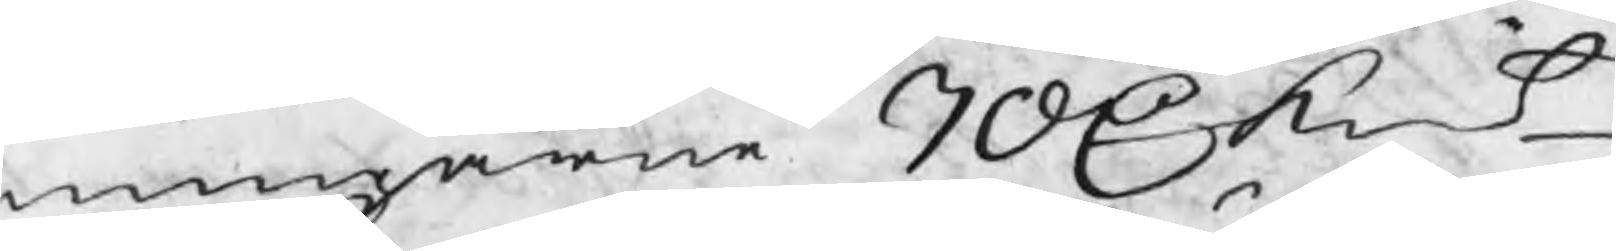ningarne 70 C kmt_
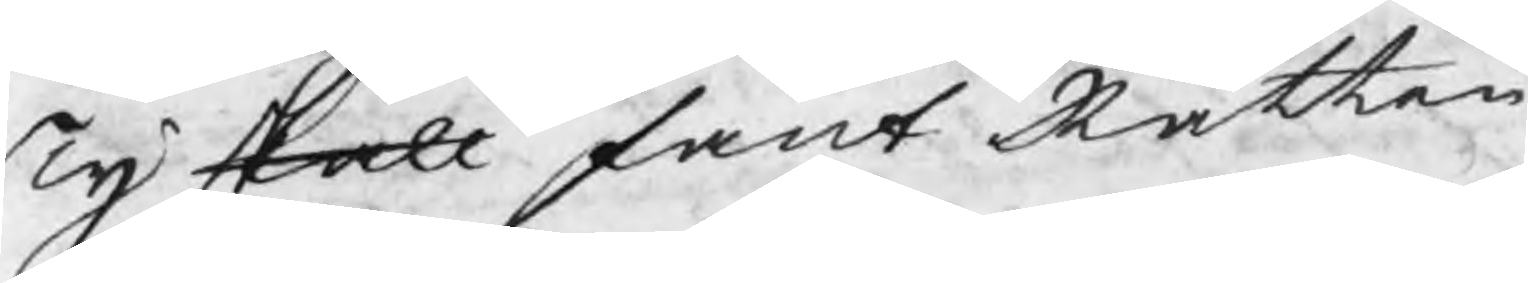Ty skall fant Rätten
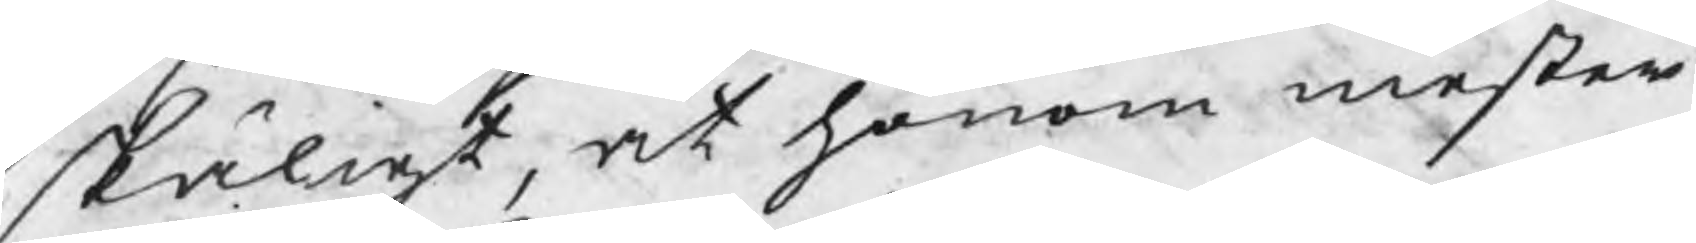skäligt, at honom mester
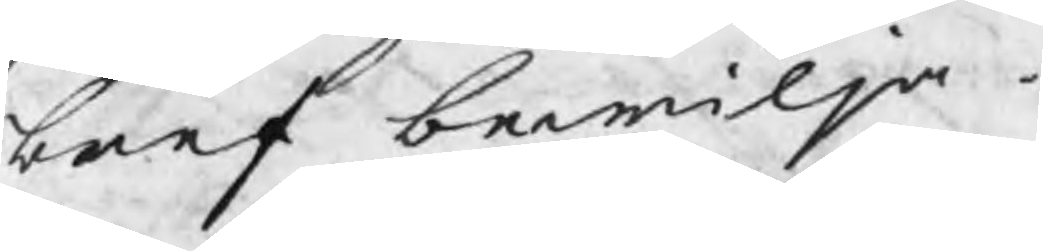bref bewilja.
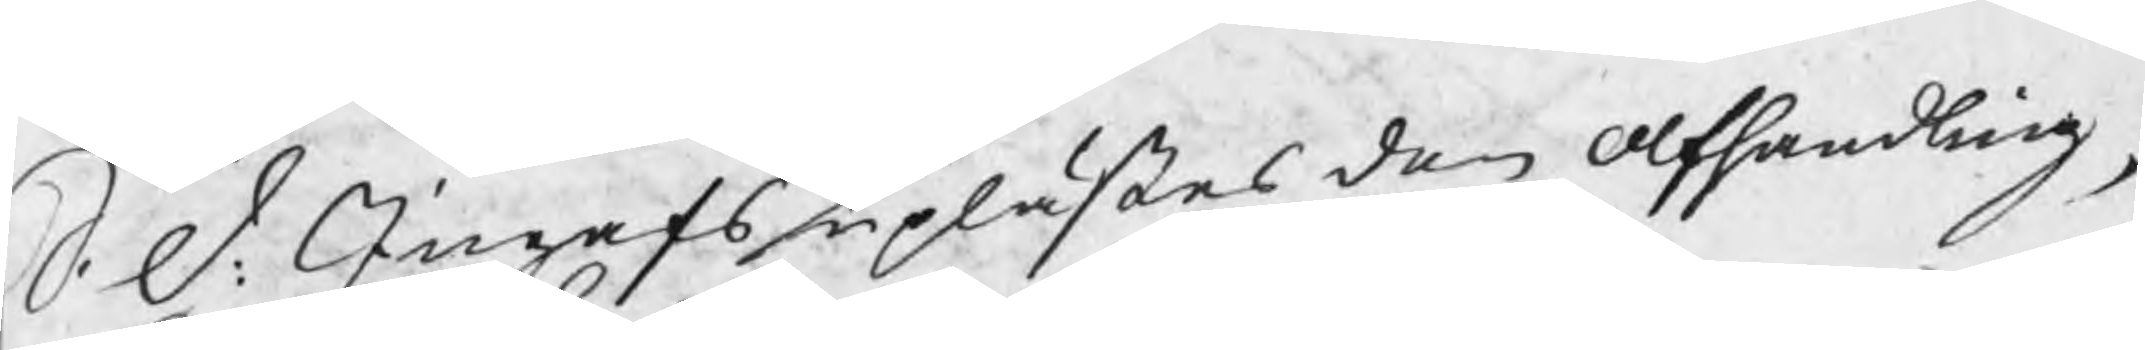S. d: Ingafs uplästes den afhandling,
